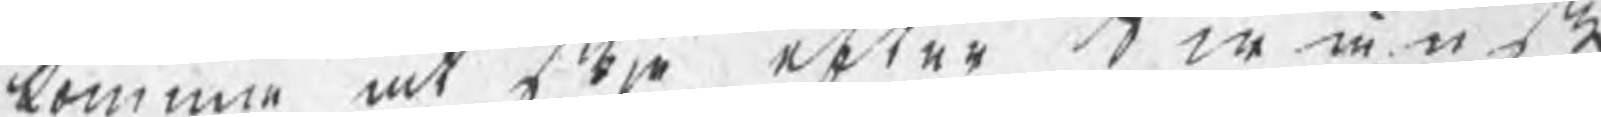komma at skje efter Swänska
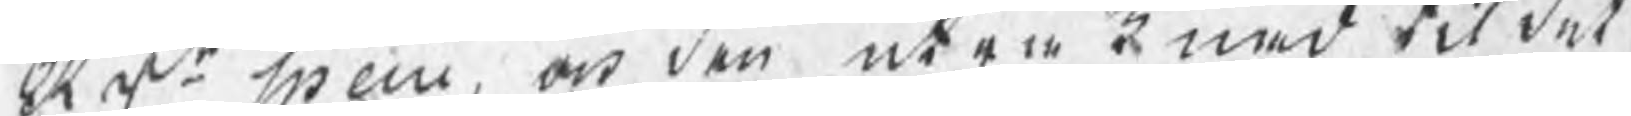RDr specie, och den uträknad til det
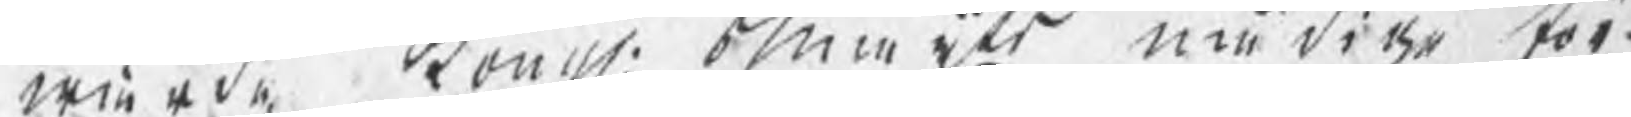wärde, Kong: Maiijts nådige för¬
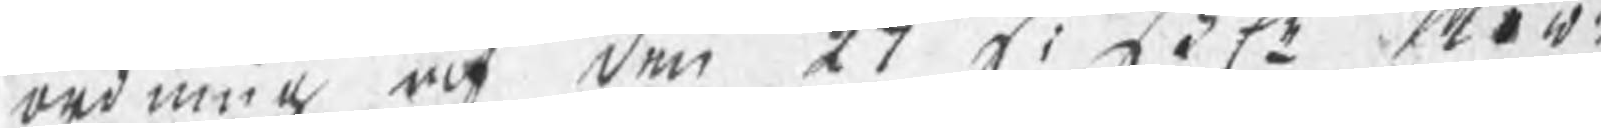ordning af den 27 sistl Now:
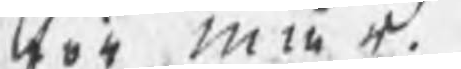för mår.
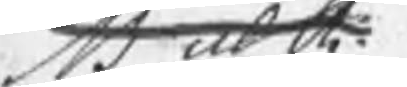NB utsk
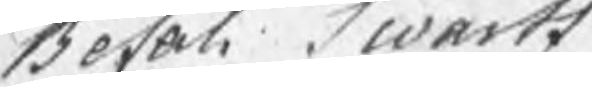Befal Swartz
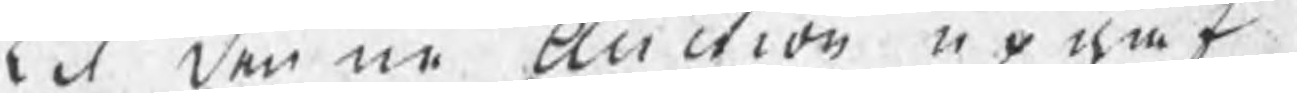Til denne Auction upgaf
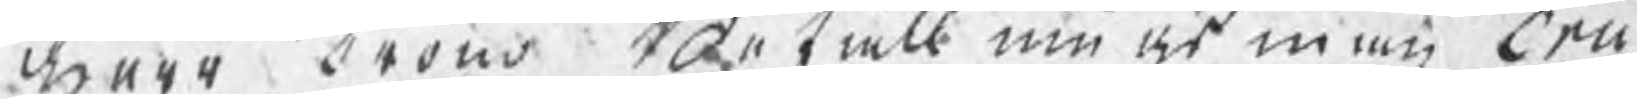Herr Crono Befallningsman Eric
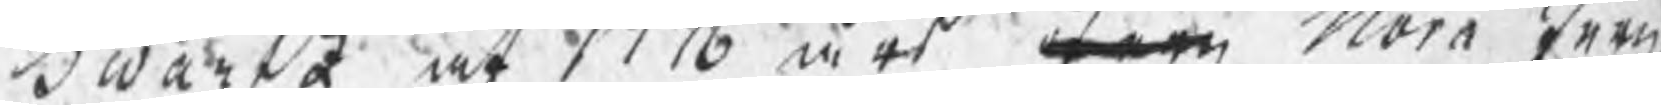Swartz af 1776 års Jern Nora Jern,
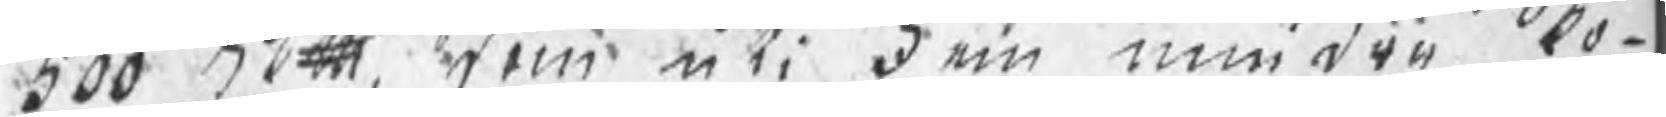500 Skpd, som uti Fem mindre Po¬
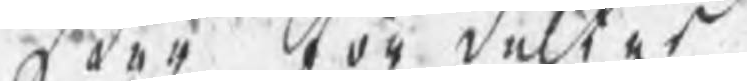ster fördeltes.
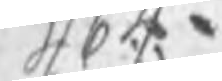464.
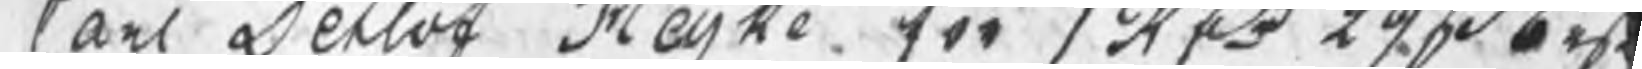Carl Secloo Kerke för 1obo 22 bm.
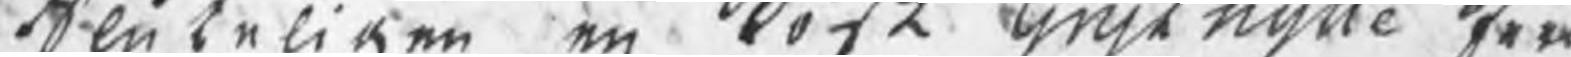Seu beliken, en bost tngh nynte Trn¬
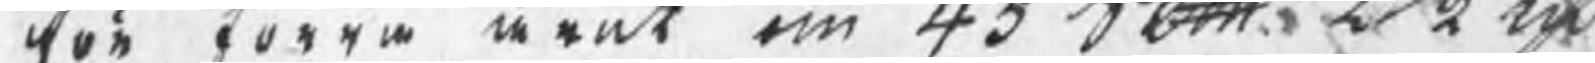ton Förra ärat om 43 Abtt 2n ei 
